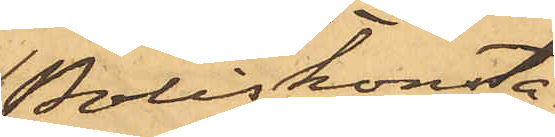Poliskonsta¬
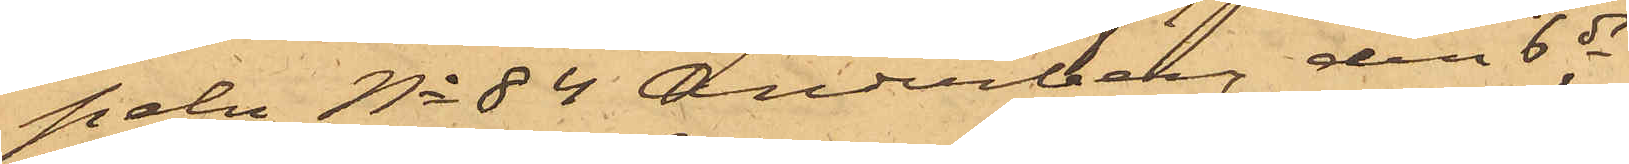peln No 84 Anderberg den 6 ds
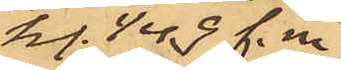kl. 1/4 9 f. m.
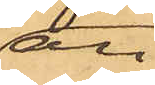an¬
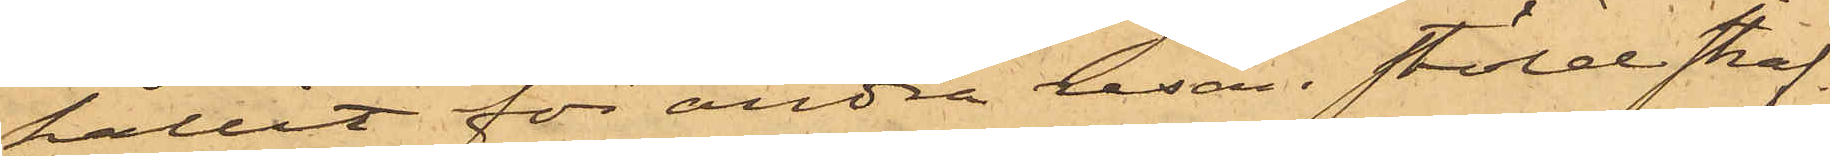hållit för andra resan stöld straf¬
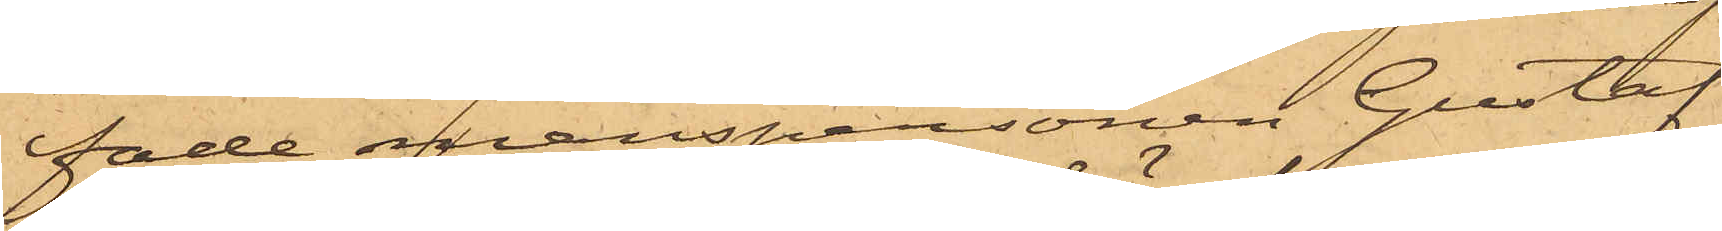fade manspersonen Gustaf
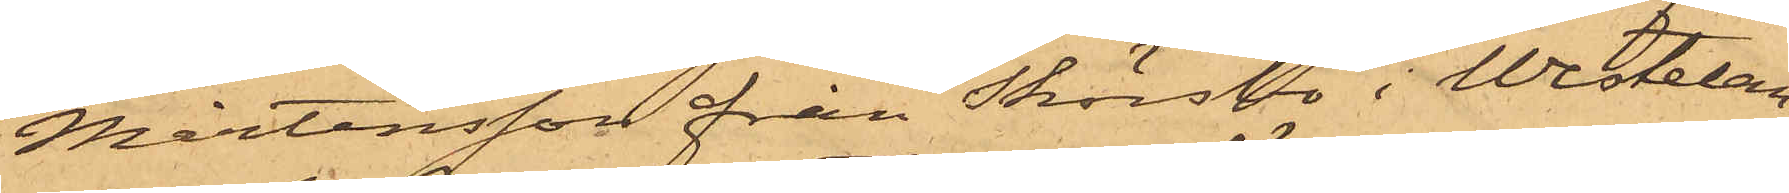Mårtensson från Skörsbo i Westelan¬
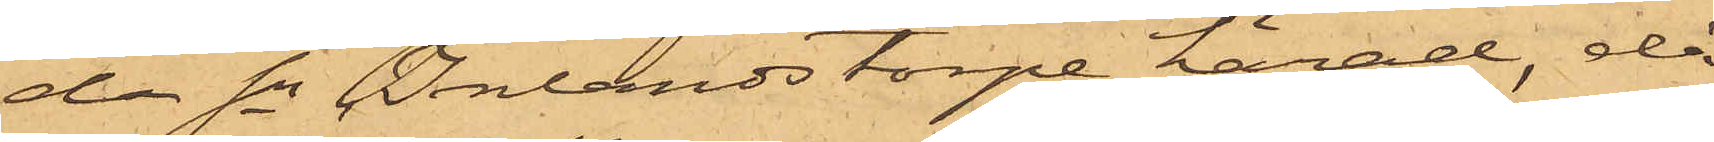da Sn Inlands torpe härad, då
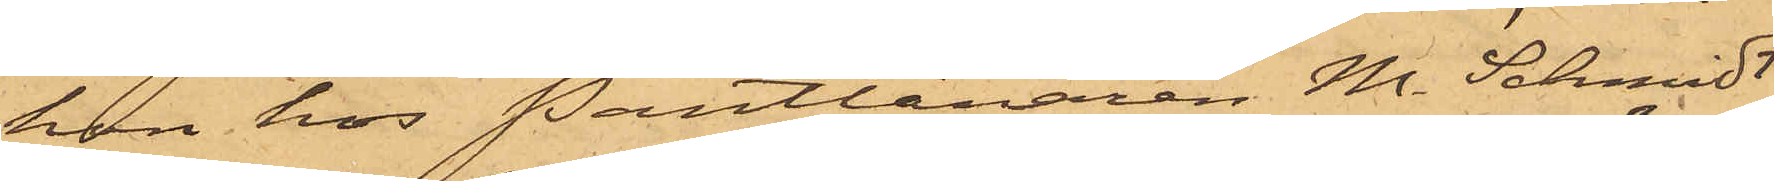han hos Pantlånaren M. Schmidt
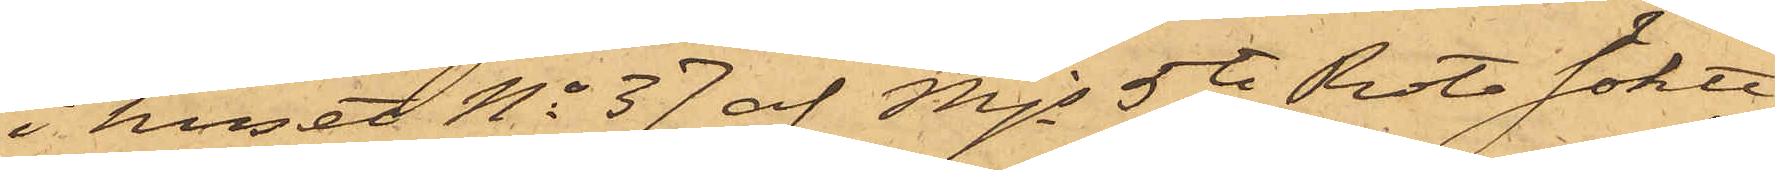i huset No 37 af Mjs 5te Rote sökte
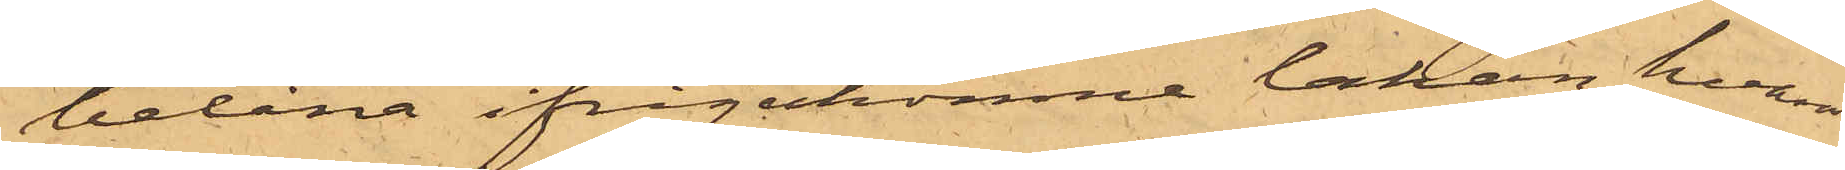belåna ifrågakomne lakan, hvarvid
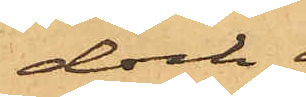dock.
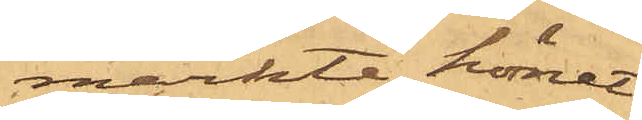märkte hörnet
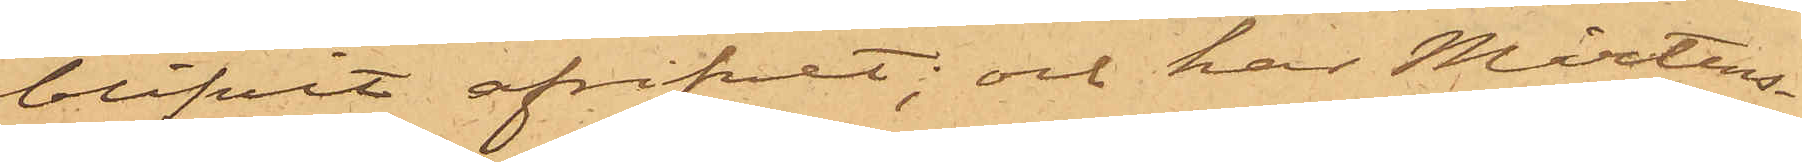blifvit afrifvet; och har Mårtens¬
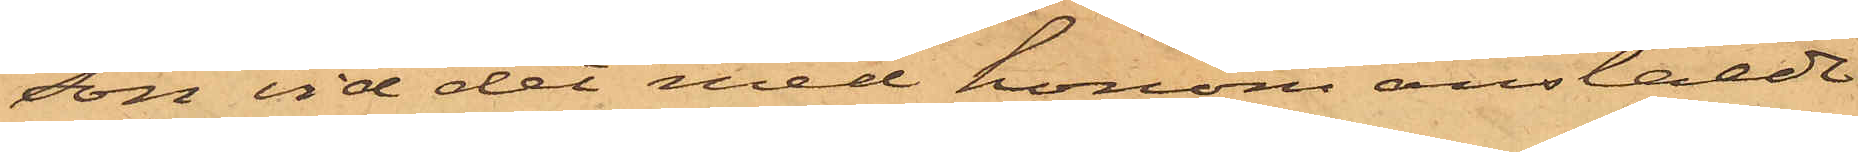son vid det med honom anstälde
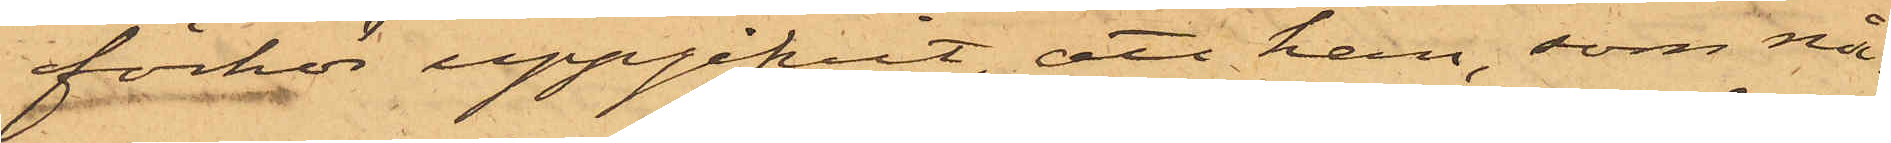förhör uppgifvit, att han, som nå¬
